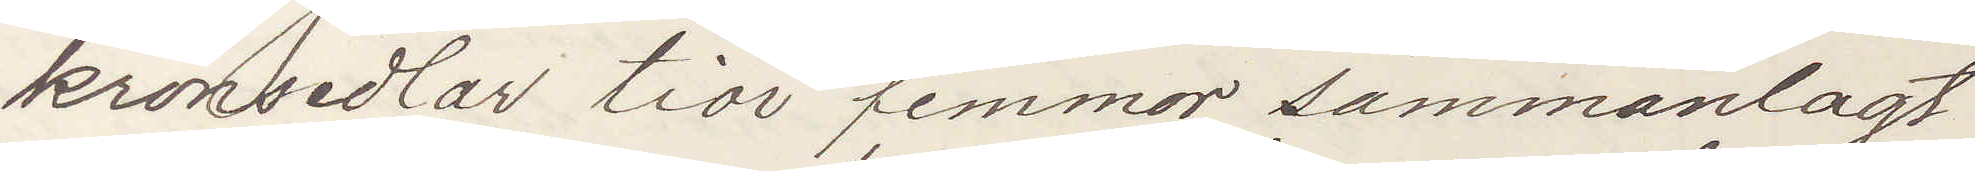kronsedlar tior femmor sammanlagt
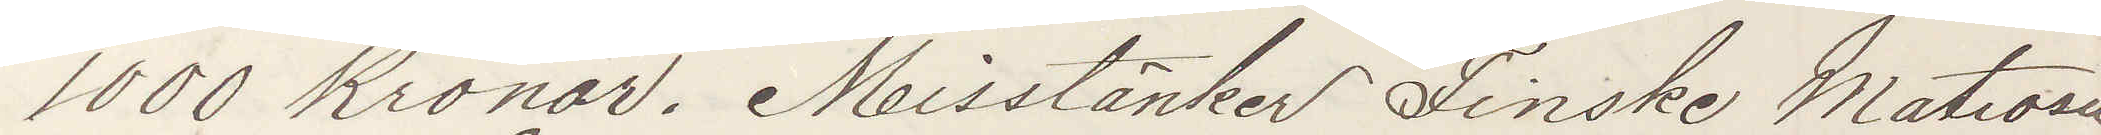1000 Kronor. Misstänker Finske Matrosen
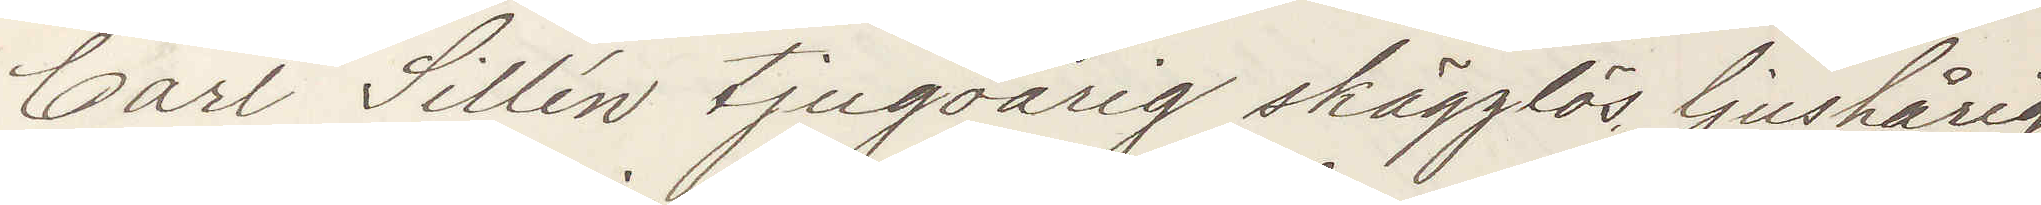Carl Sillén tjugoårig skägglös, ljushårig
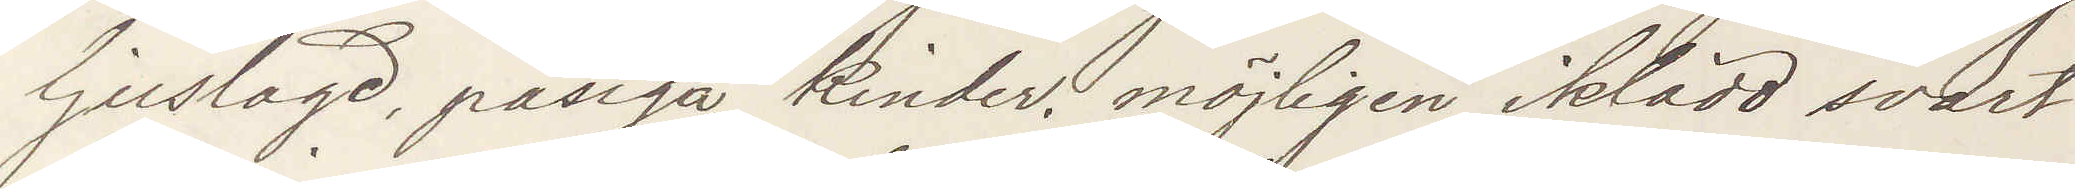ljuslagd, påsiga kinder, möjligen iklädd svart
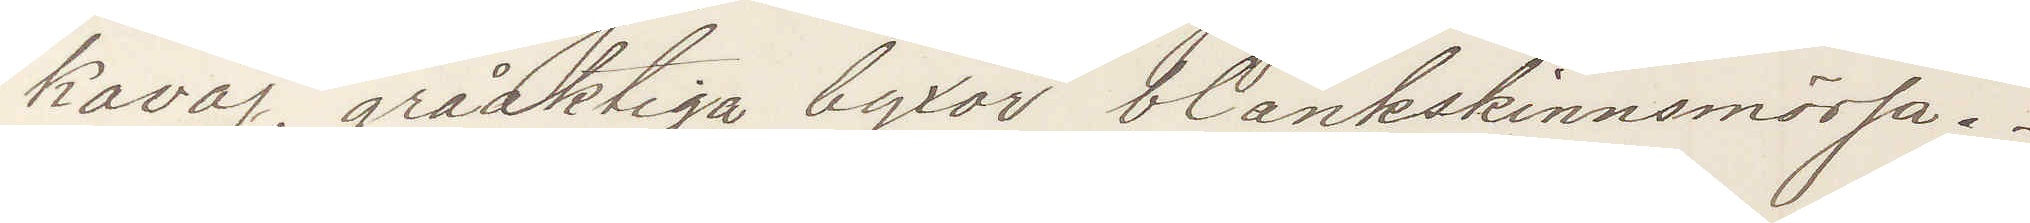kavaj, gråaktiga byxor blankskinnsmössa.
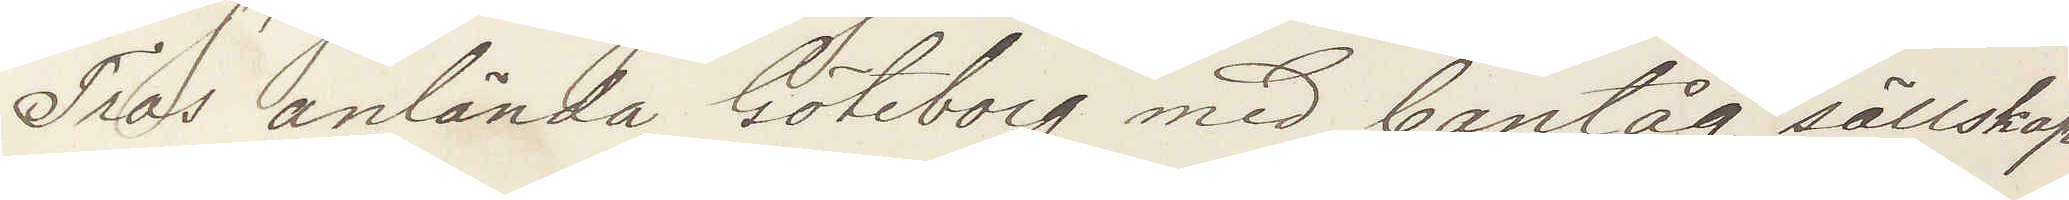Tros anlända Göteborg med bantåg sällskap
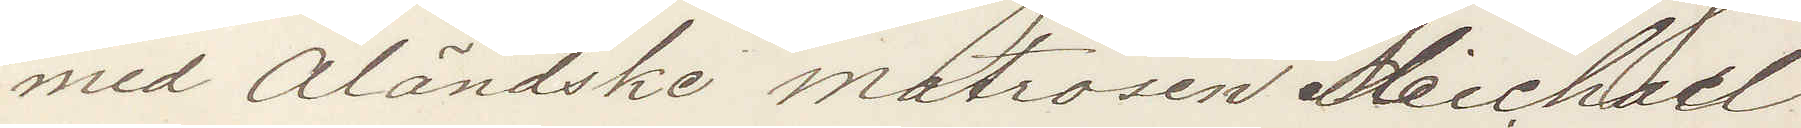med Åländske Matrosen Michael
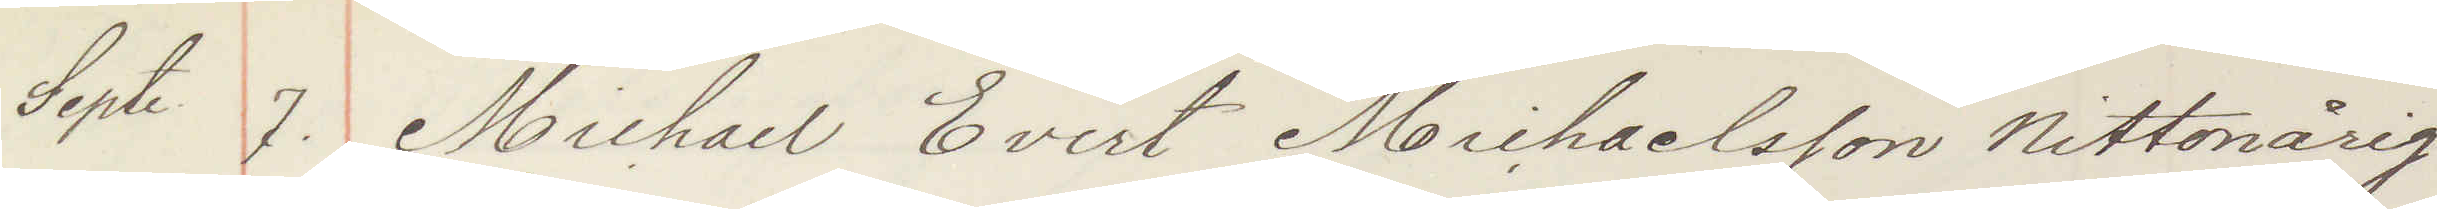Sept 7. Michael Evert Michaelsson nittonårig
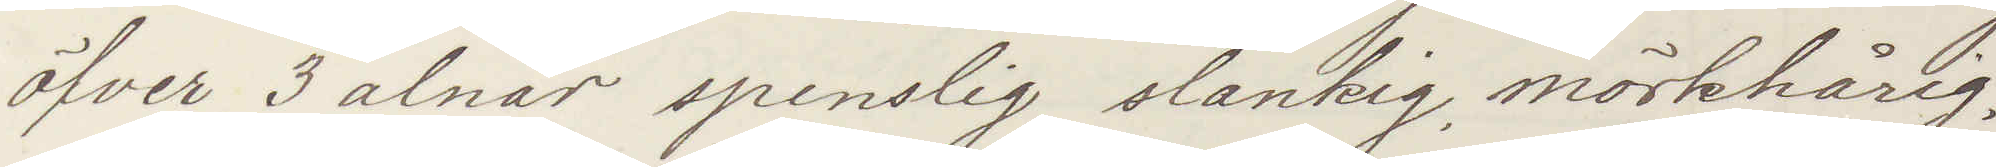öfver 3 alnar spenslig slankig, mörkhårig,
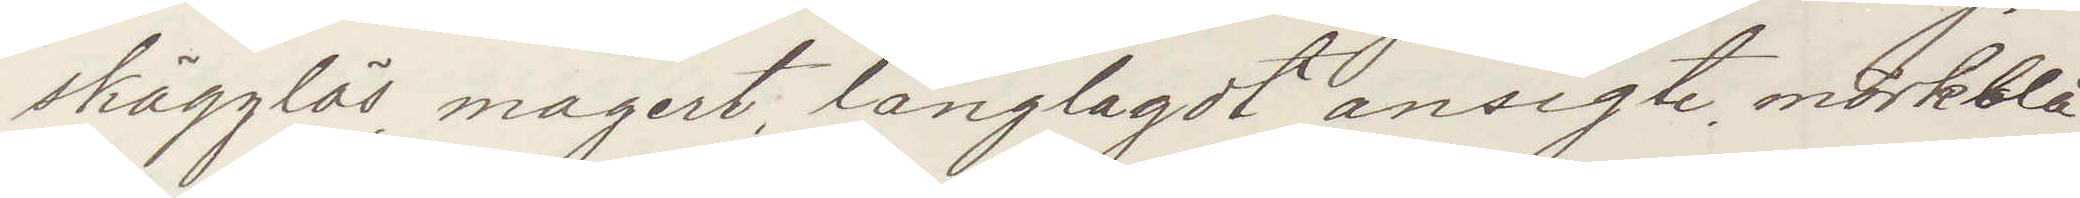skägglös, magert, långlagdt ansigte, mörkblå
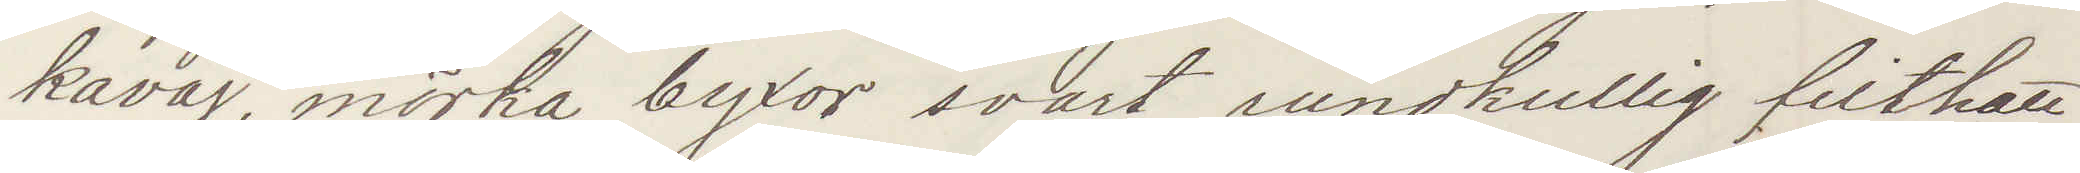kavaj, mörka byxor svart rundkullig filthatt
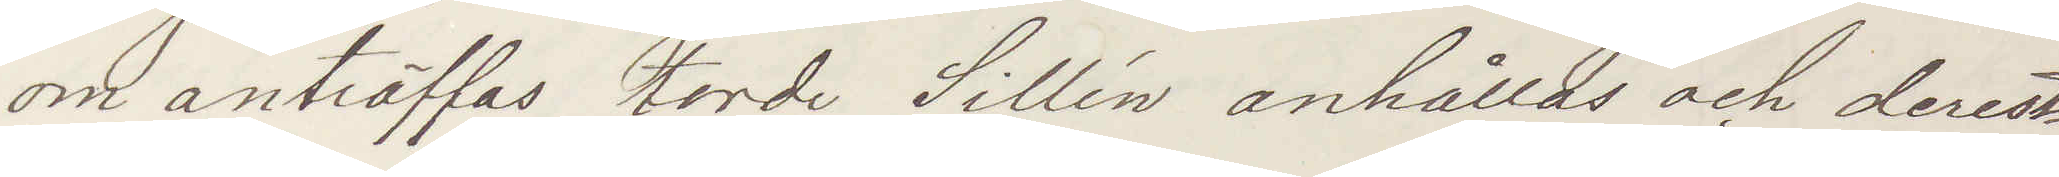om anträffas torde Sillén anhållas och derest
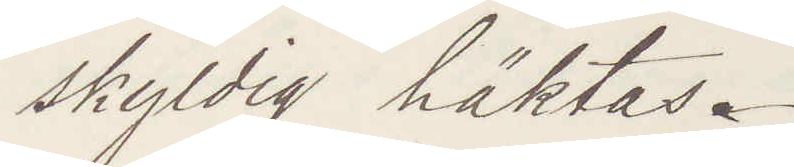skyldig häktas.
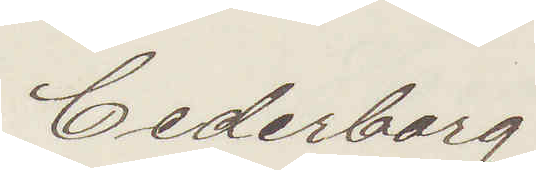Cederborg.
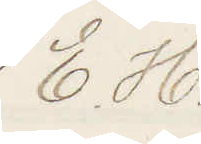E. H.
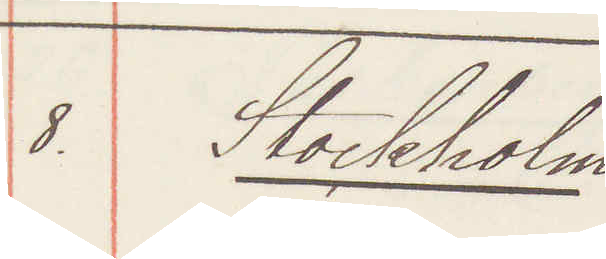8. Stockholm
